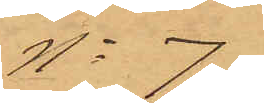No 7
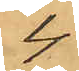4
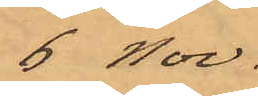6 Nov.
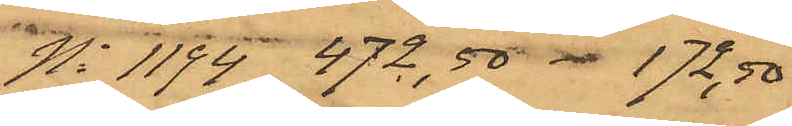No 1194 472,50  172,50
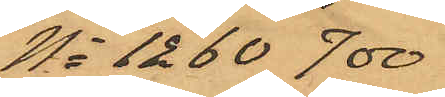No 1260 700
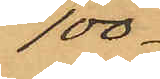100
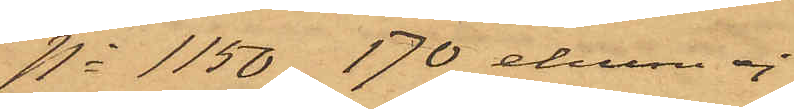No 1150 170 ehuru ej
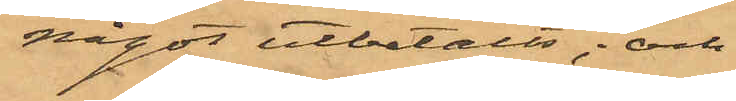något utbetalts; och
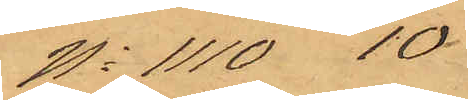No 1110 10
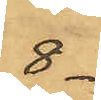8.
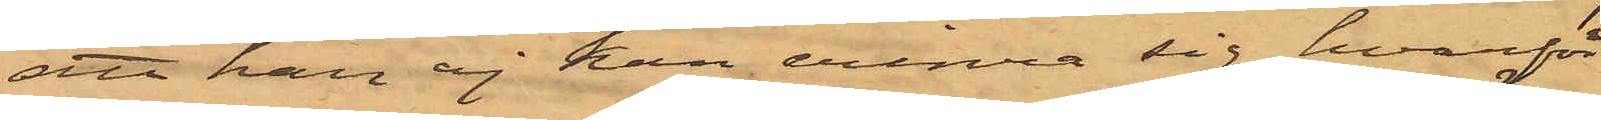att han ej han erinra sig, hvarför
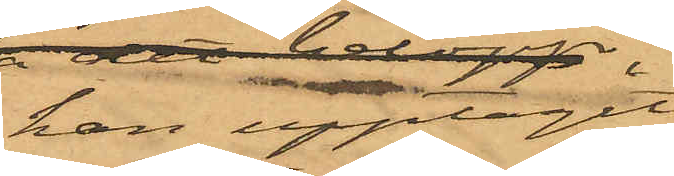han upptagit
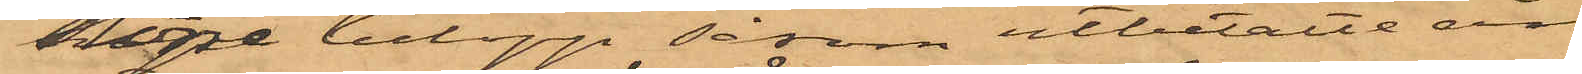högre belopp såsom utbetalte än
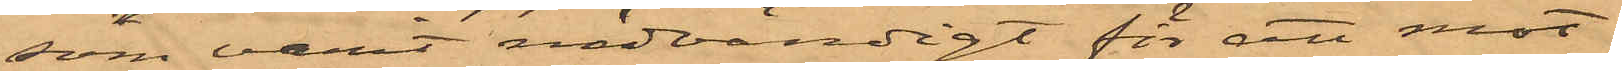som varit nödvändigt för att mot¬
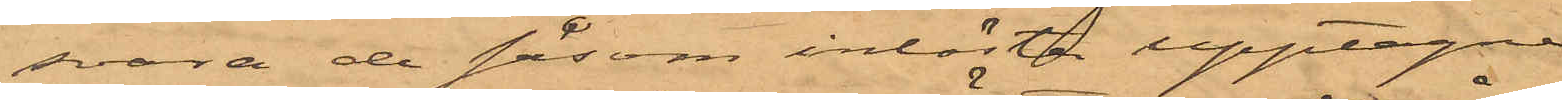svara de såsom inlösta upptagne
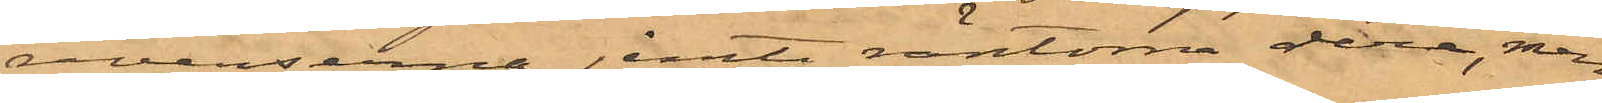reverserna jemte räntorna derå, men
